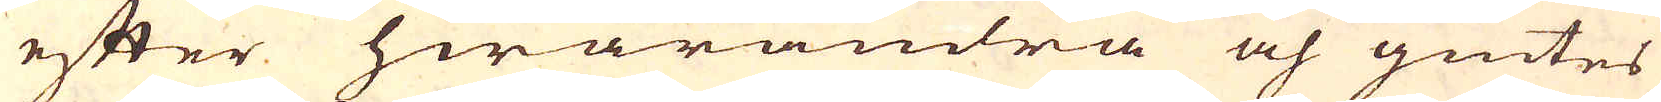efter hwarandra och giutes
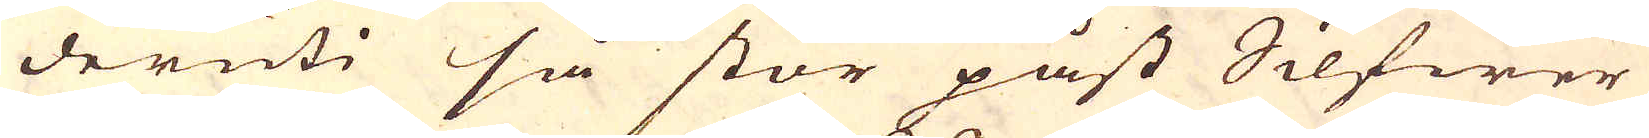deruti så stor påst Silfwer
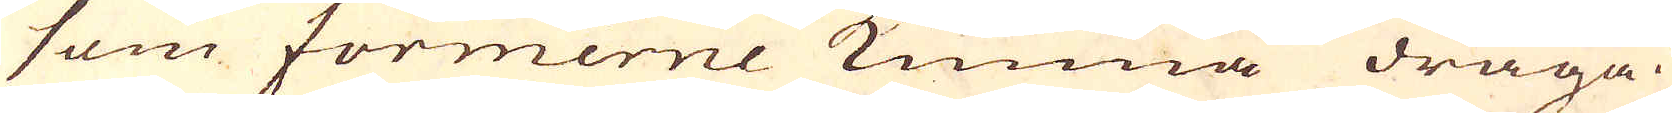som formerne kunna draga.
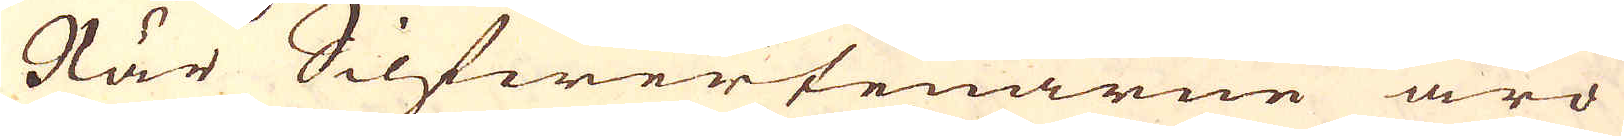När Silfwertenarne äro
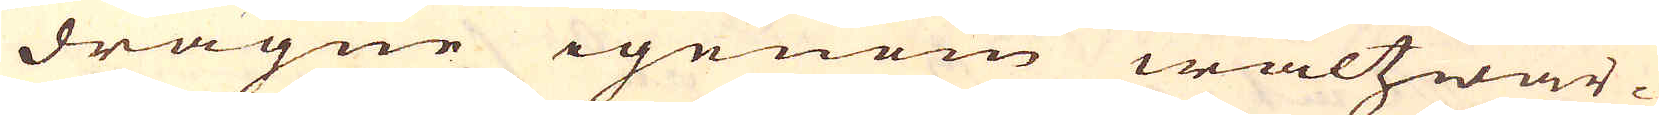dragne igenom waltzwär-
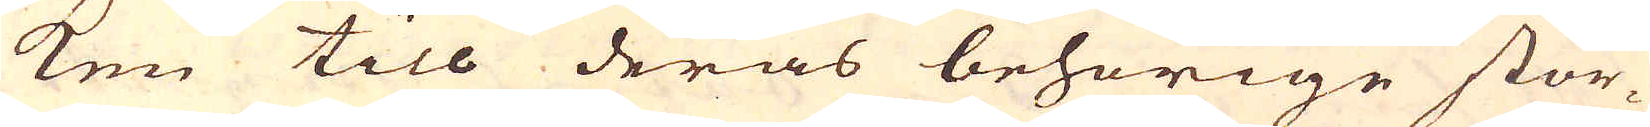ken till deras behörige stor-
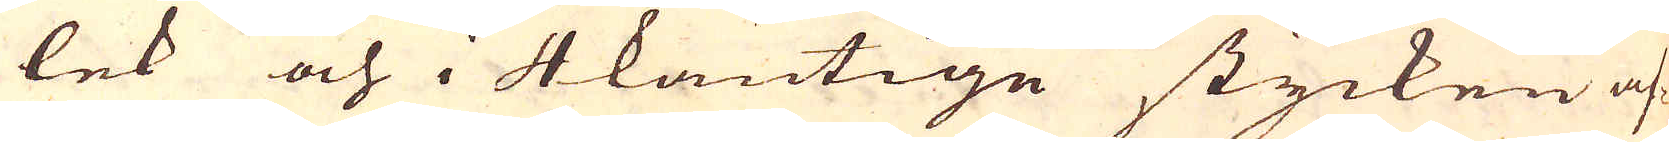lek och i 4kantige stycken af-
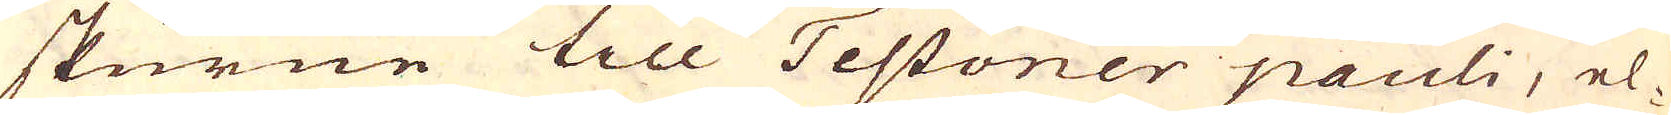skurne till Testoner pauli, el-
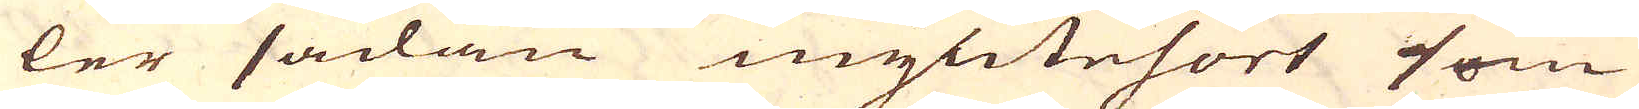ler sådan myntesort som
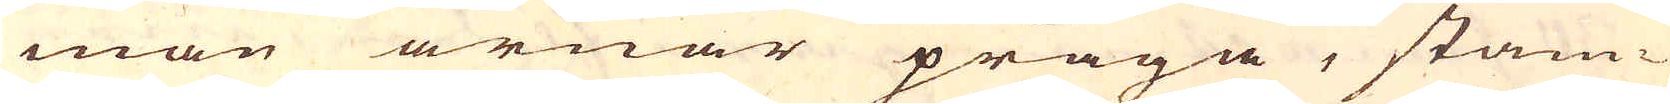man ärnar präga, stäm-
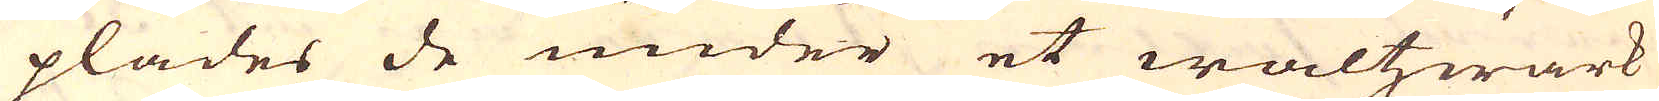plades de under et waltzwärk
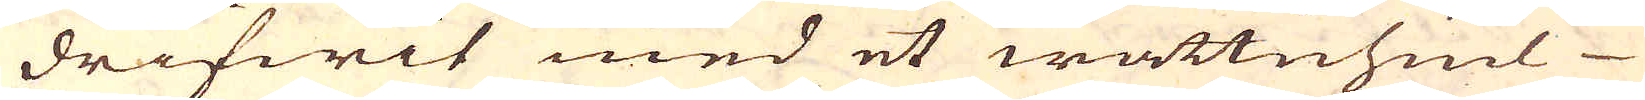drifwit med et wattuhiul
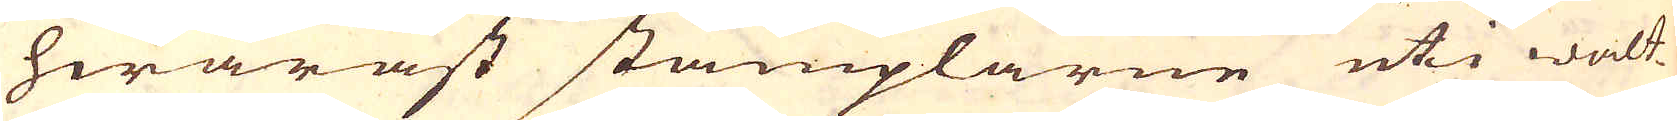hwaräst stämplarne uti walt-
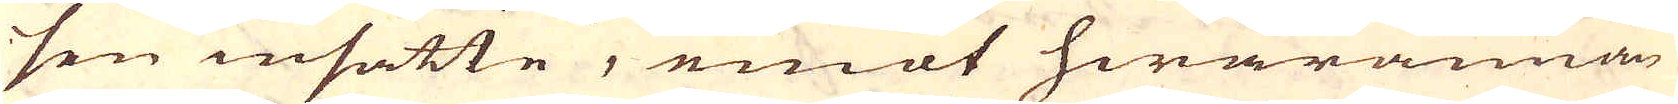sen insatte, emot hwarannan
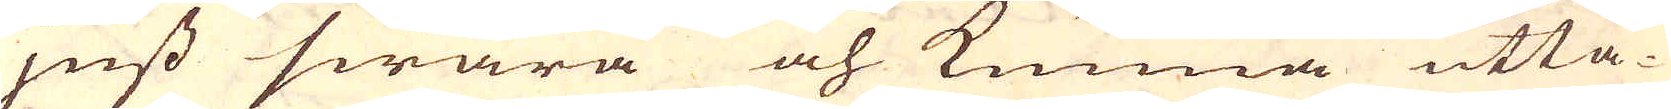juss swara och kunna utta-
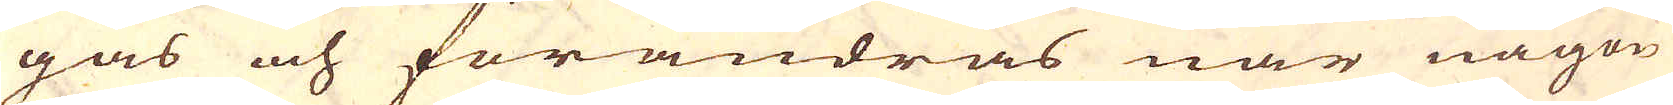gas och förändras när någon
